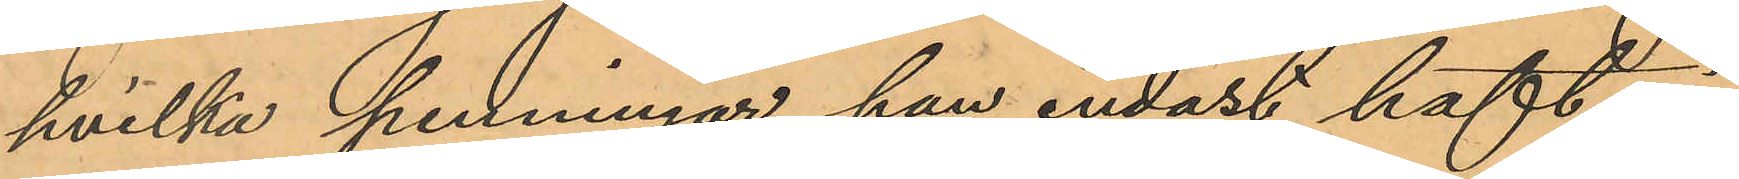hvilka penningar han endast haft i
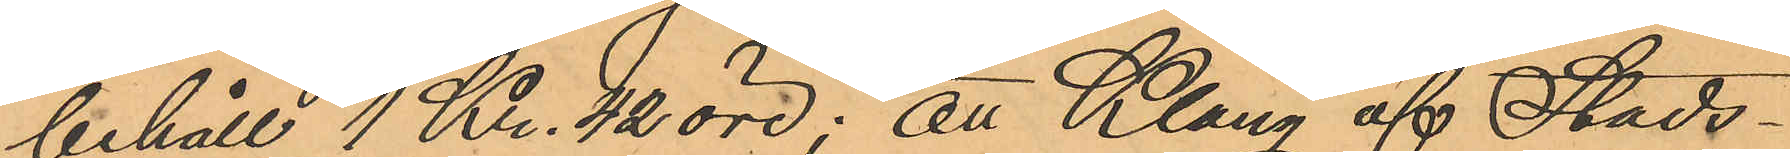behåll 1 Kr. 42 öre; att Klang af Stads¬
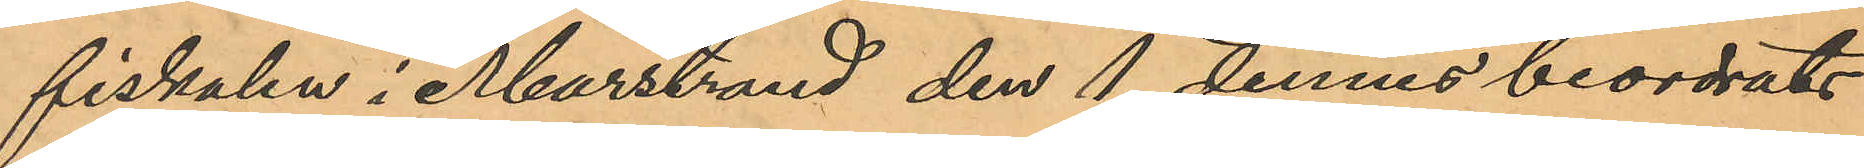fiskalen i Marstrand den 1 dennes beordrats
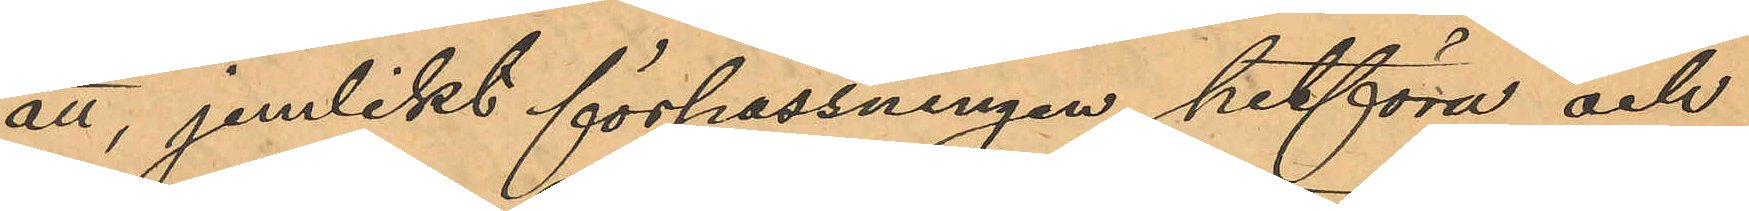att, jemlikt förpassningen, hitföra och
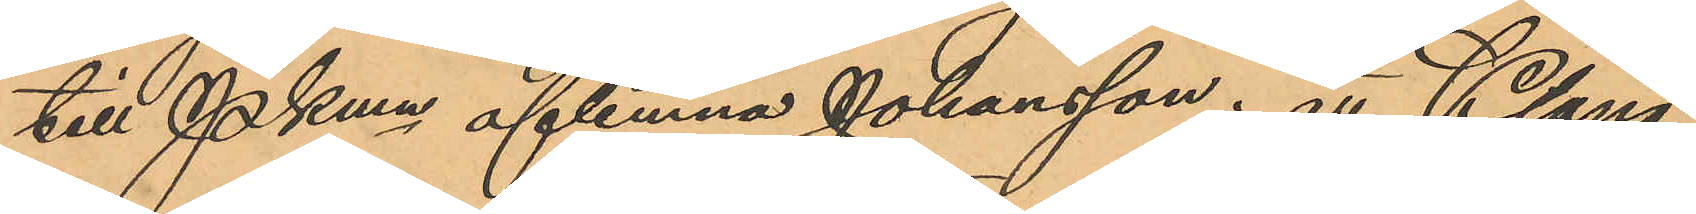till Pkmn aflemna Johansson; att Klang
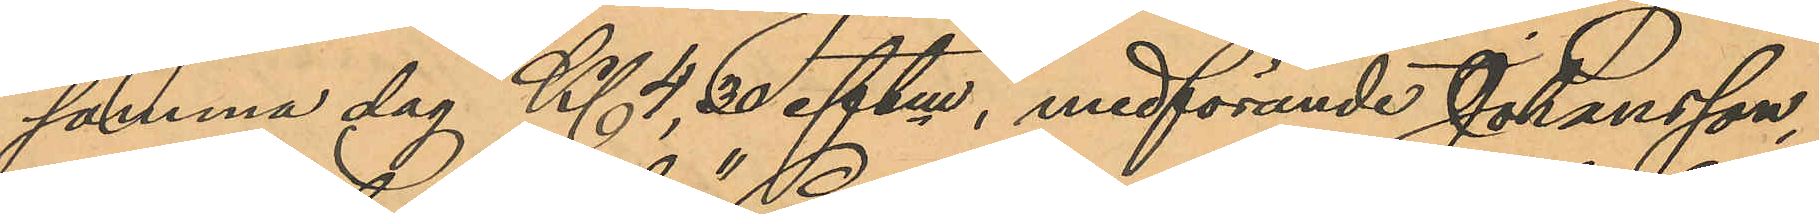samma dag Kl 4,30 eftm, medförande Johansson,
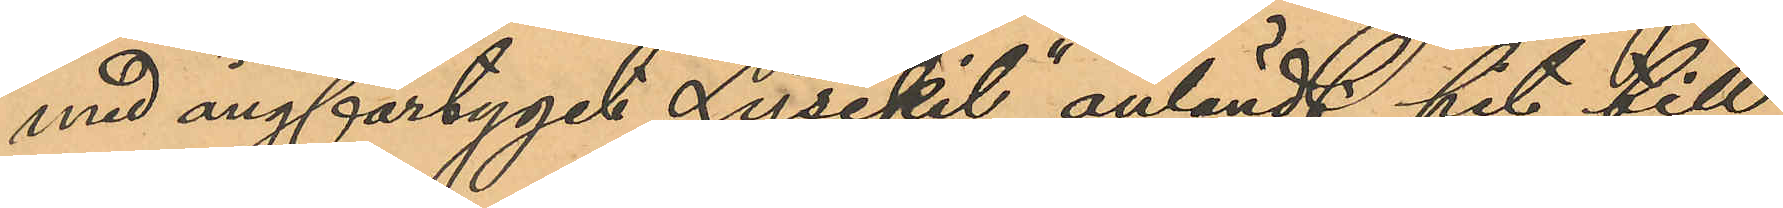med ångfartyget "Lysekil" anländt hit till
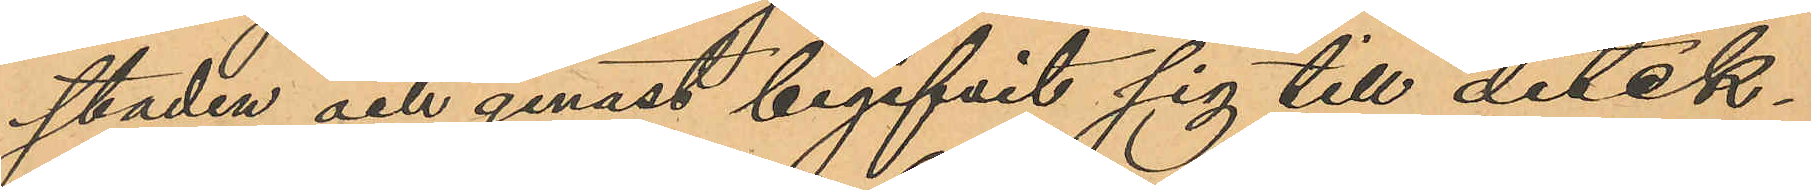staden och genast begifvit sig till detek¬
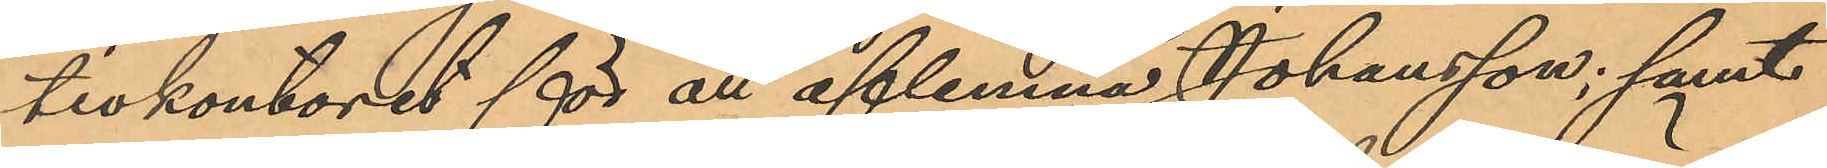tivkontoret för att aflemna Johansson; samt
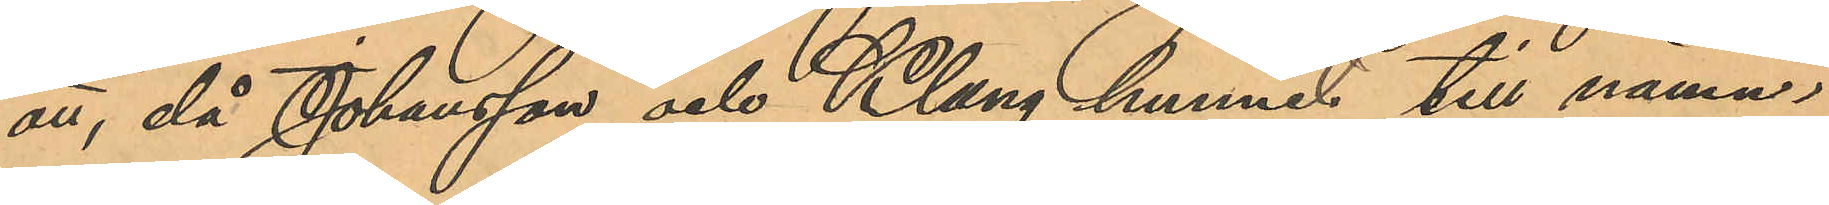att, då Johansson och Klang hunnit till nämn¬
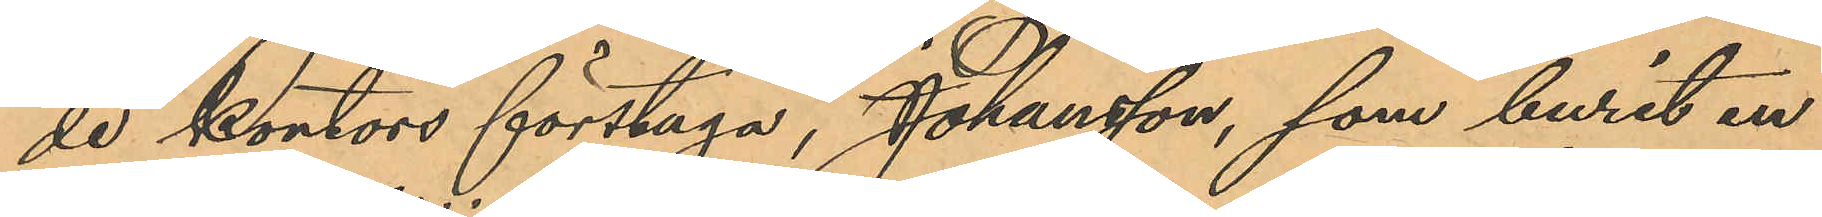de kontors förstuga, Johansson, som burit en
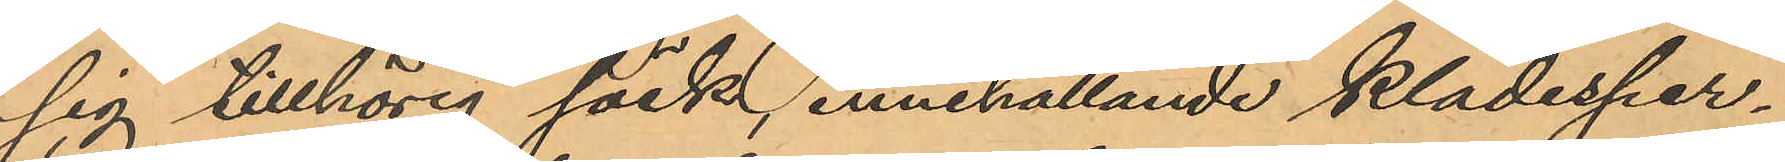sig tillhörig säck, innehållande klädesper¬
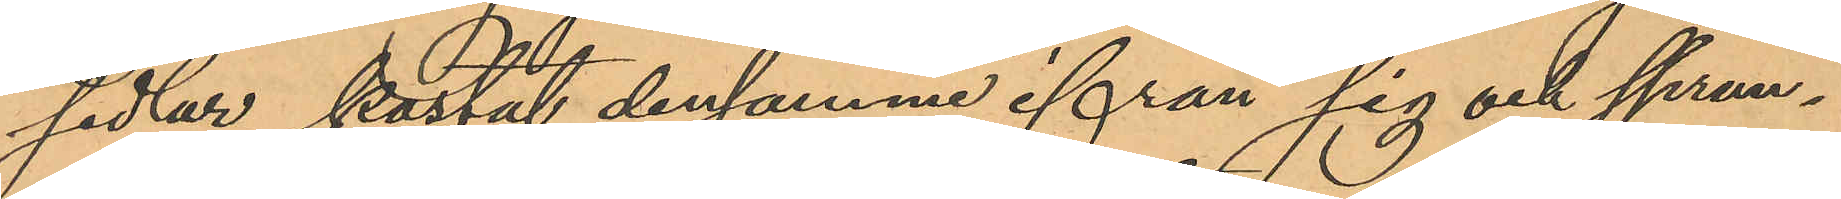sedlar, kastat densamme ifrån sig och sprun¬
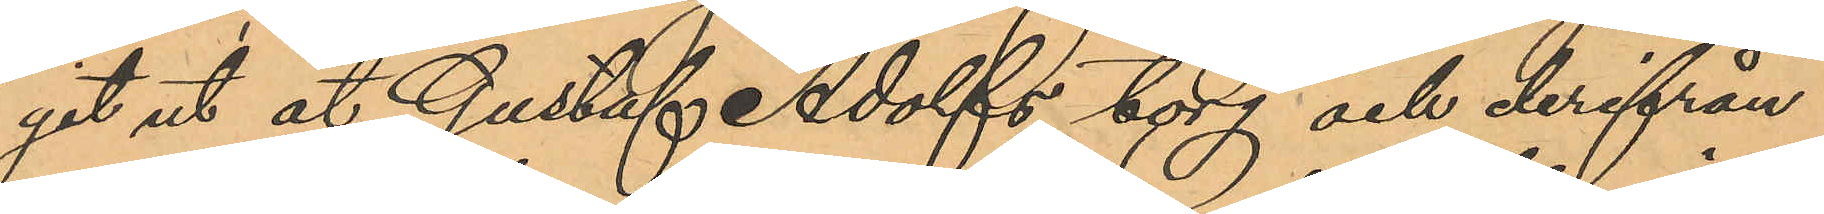git ut åt Gustaf Adolfs torg och derifrån
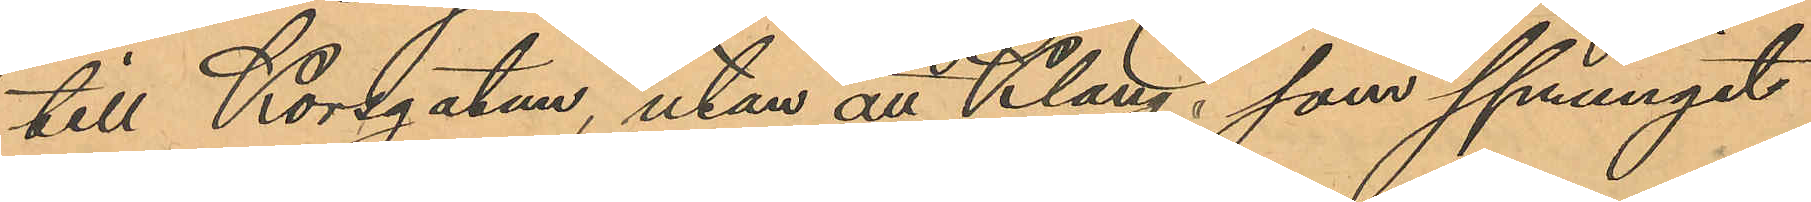till Korsgatan, utan att Klang, som sprungit
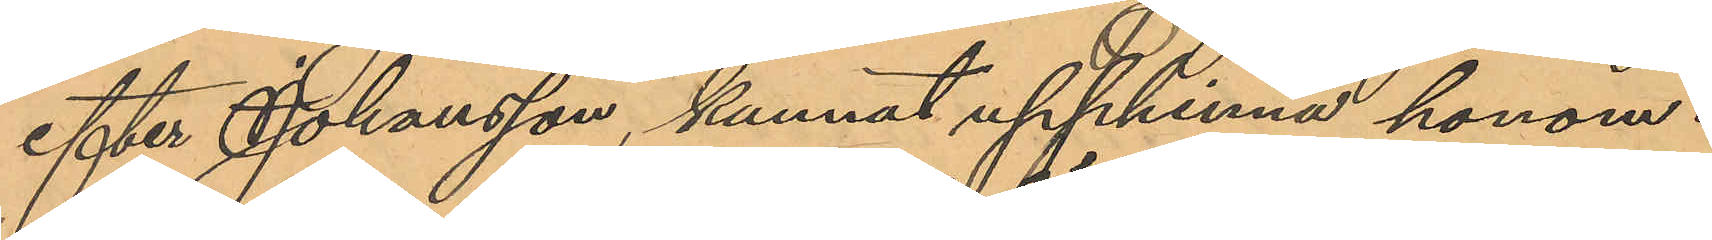efter Johansson, kunnat upphinna honom.
